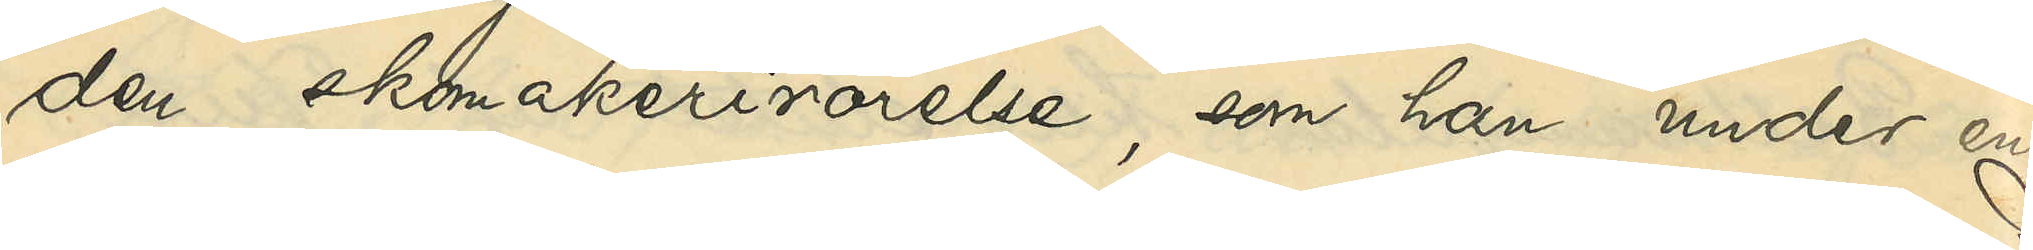den skomakerirörelse, som han under en
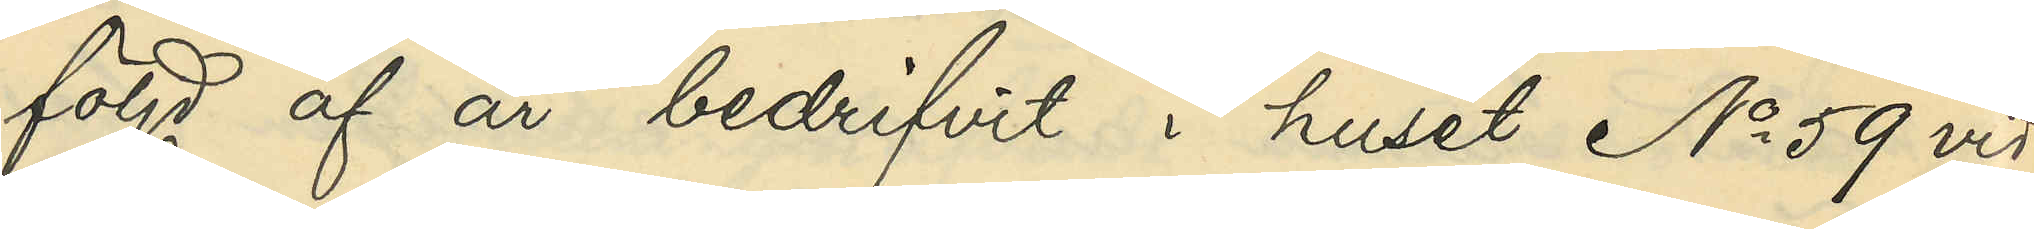följd af år bedrifvit i huset No 59 vid
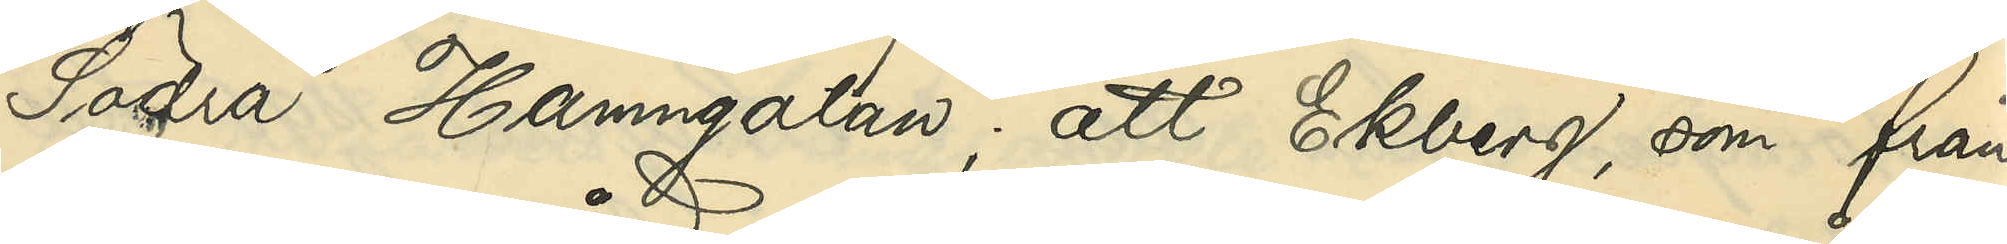Södra Hamngatan; att Ekberg, som från
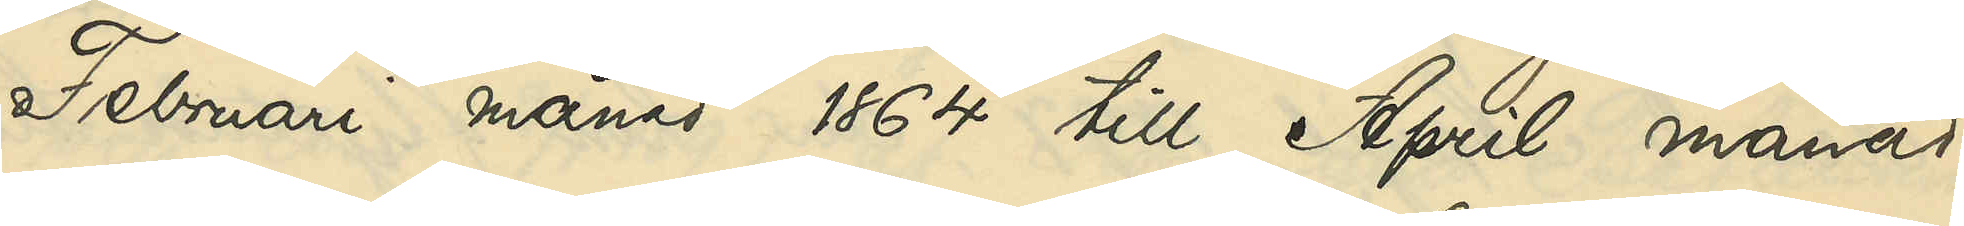Februari månad 1864 till April månad
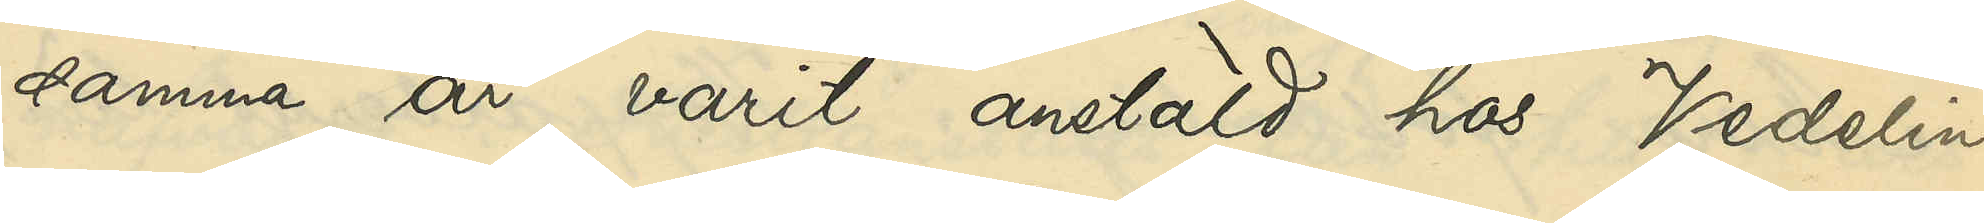samma år varit anstäld hos Vedelin
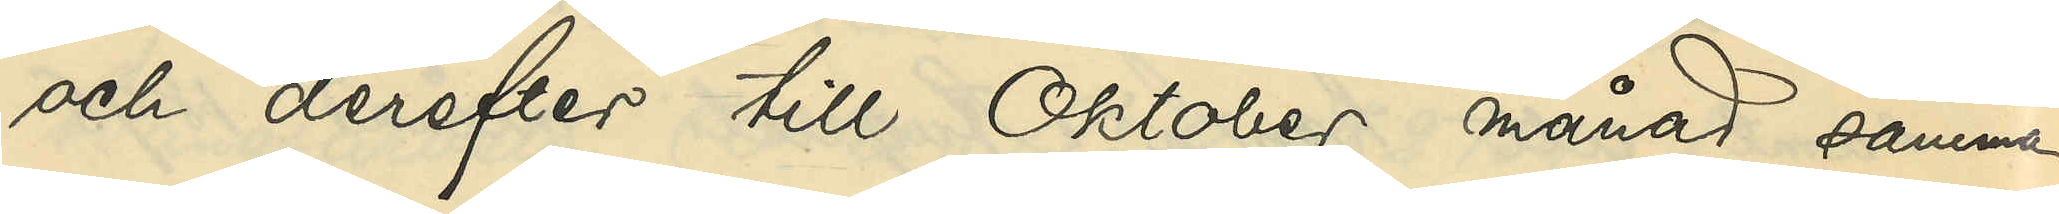och derefter till Oktober månad samma
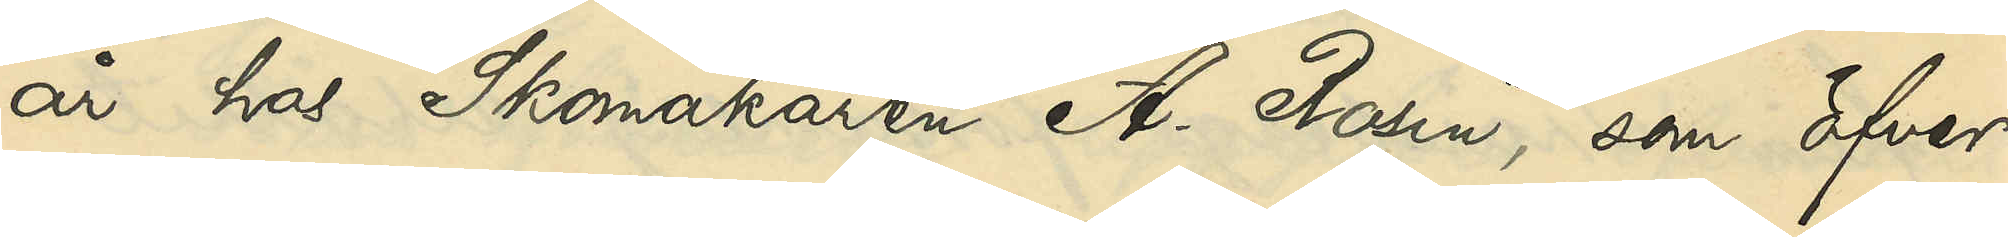år hos Skomakaren A. Rosin, som öfver¬
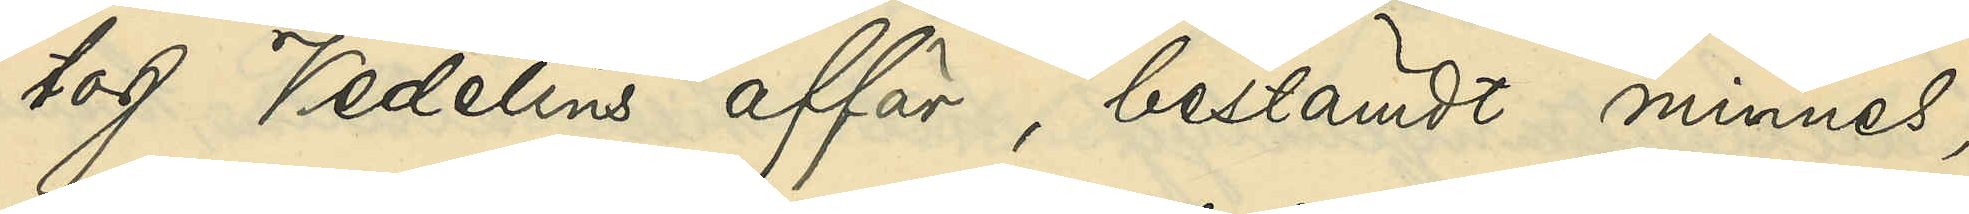tog Vedelins affär, bestämdt minnes,
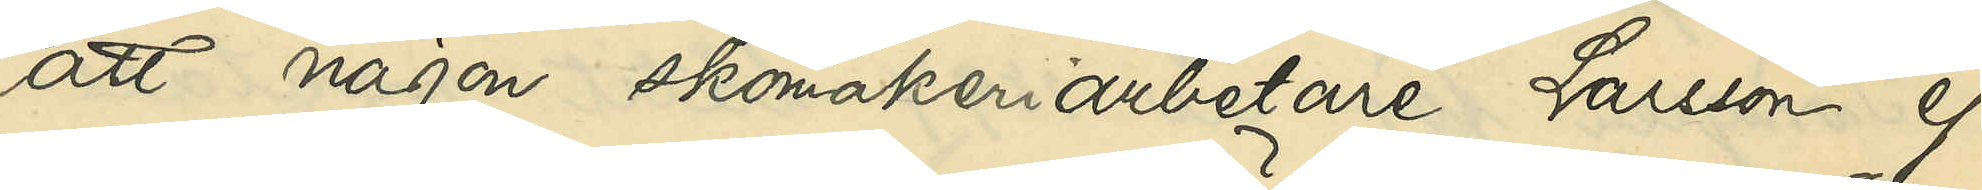att någon skomakeriarbetare Larsson ej
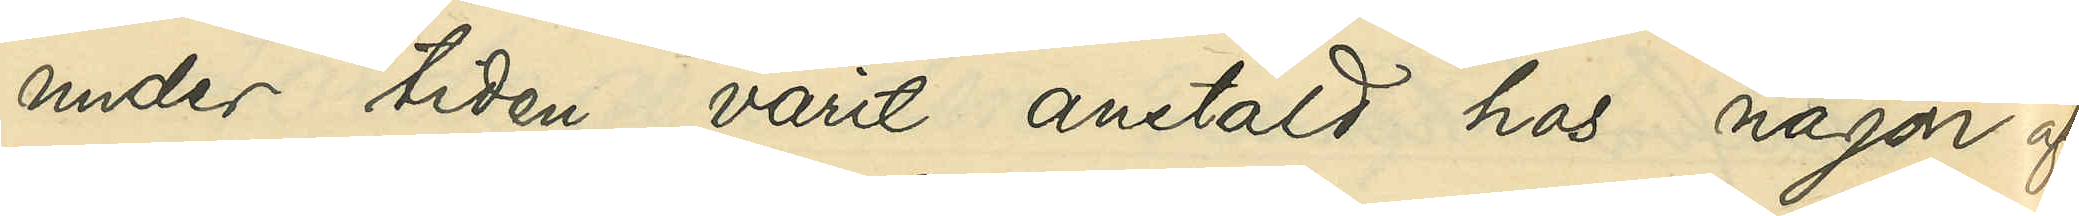under tiden varit anstäld hos någon af
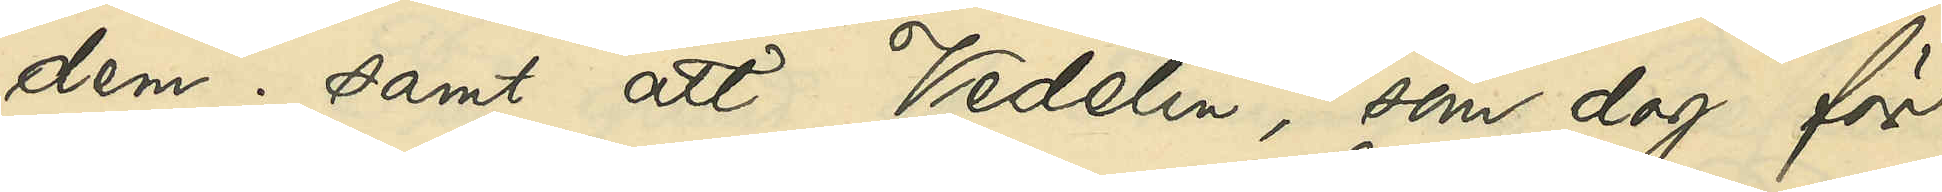dem; samt att Vedelin, som dog för
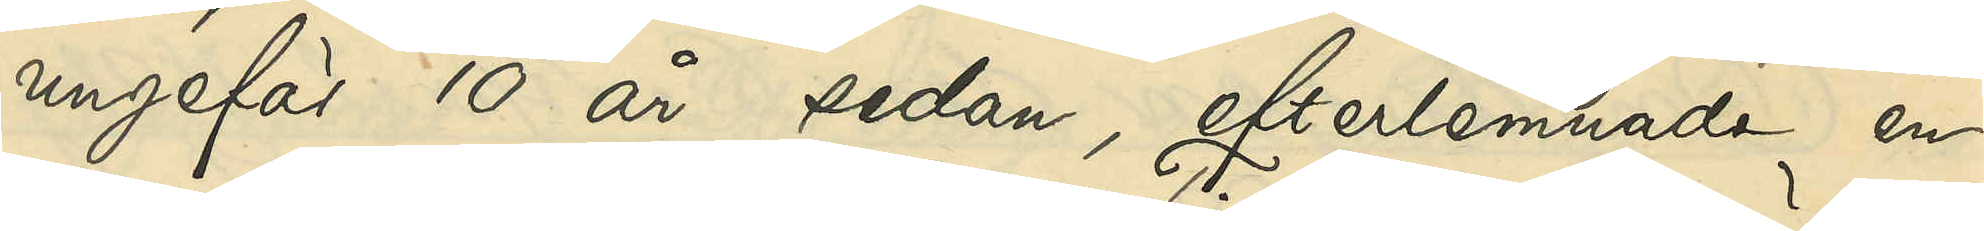ungefär 10 år sedan, efterlemnade en
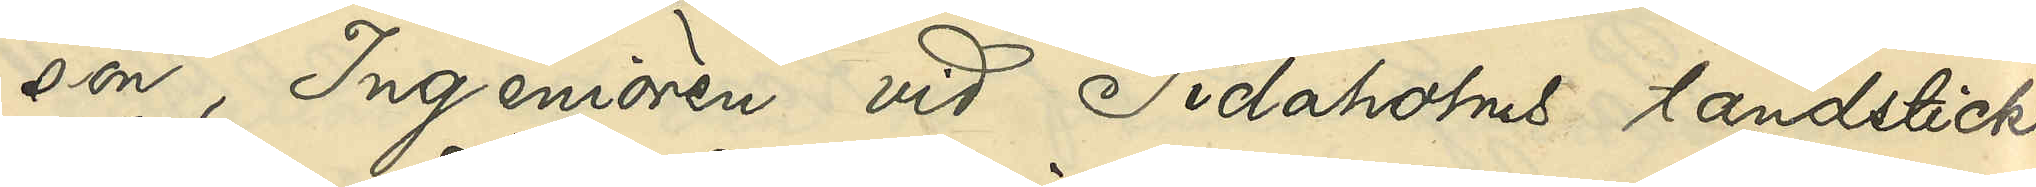son, Ingenjören vid Tidaholms tändsticks¬
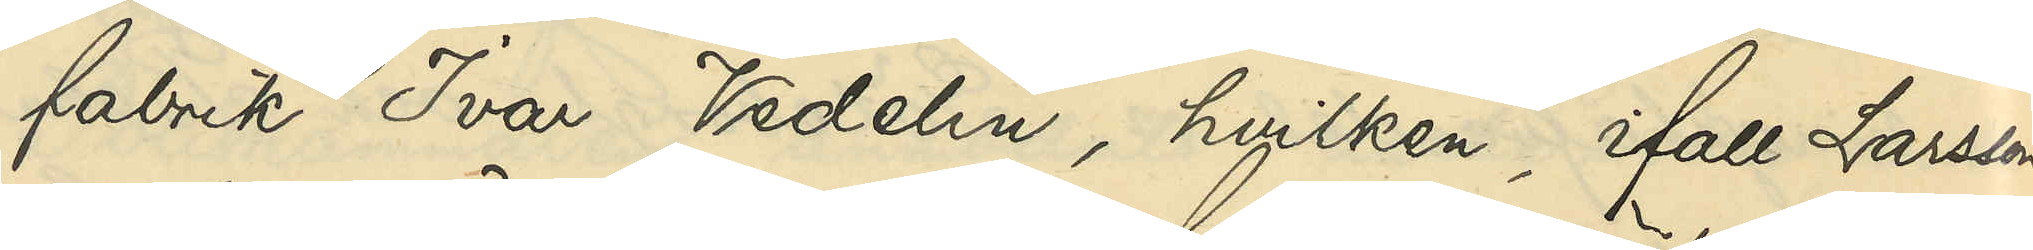fabrik Ivar Vedelin, hvilken, ifall Larsson
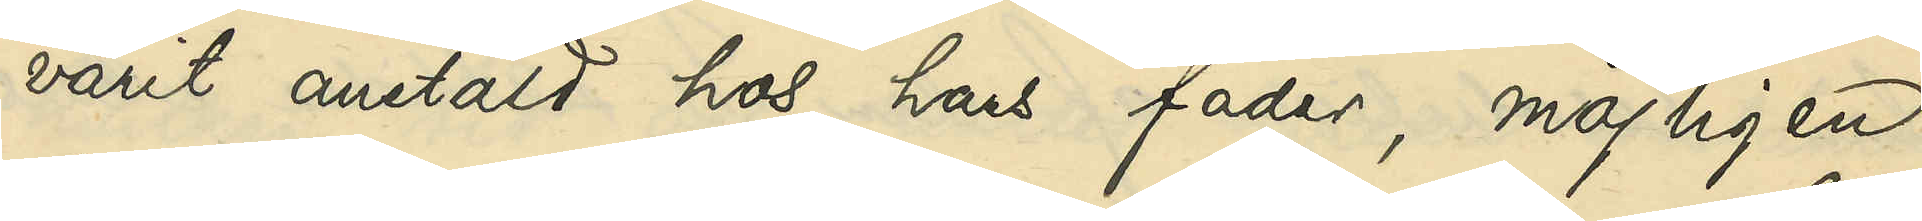varit anstäld hos hans fader, möjligen
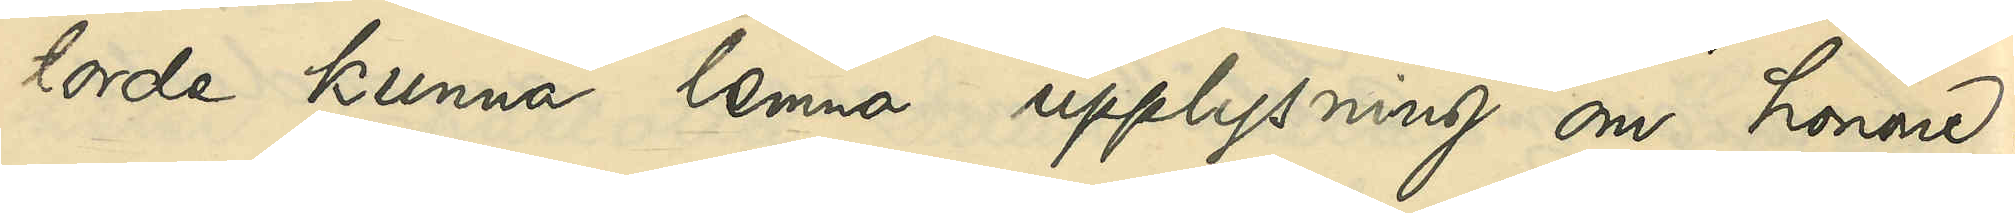torde kunna lemna upplysning om honom.
